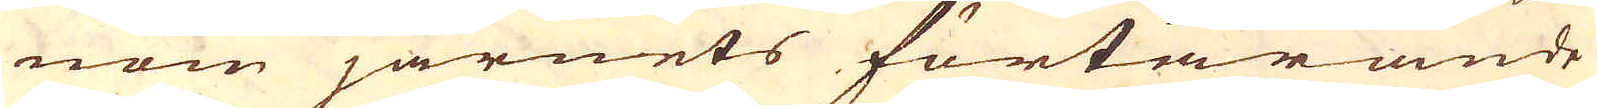nom järnets förtärande
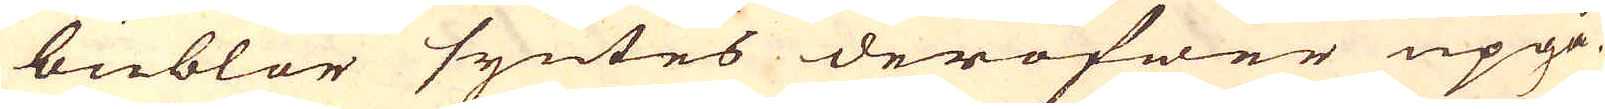bublor syntes deröfwer upgå.
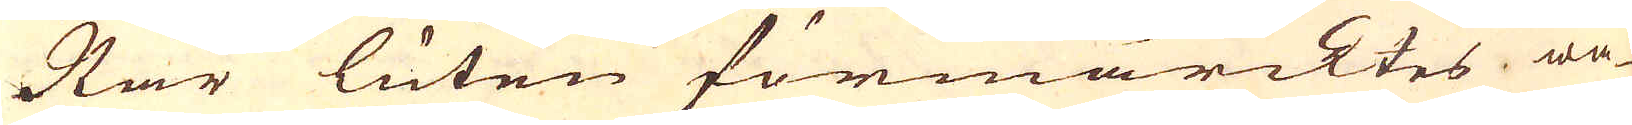När luten förmärcktes wa-
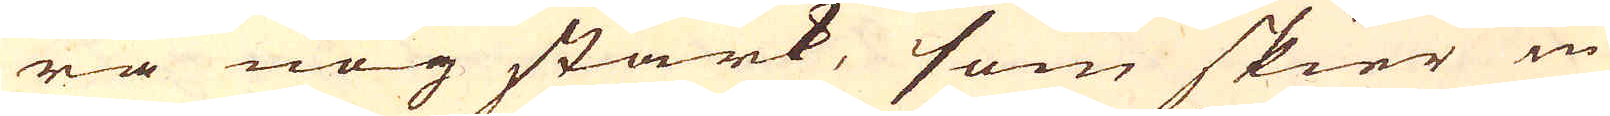ra nog stark, som skier in-
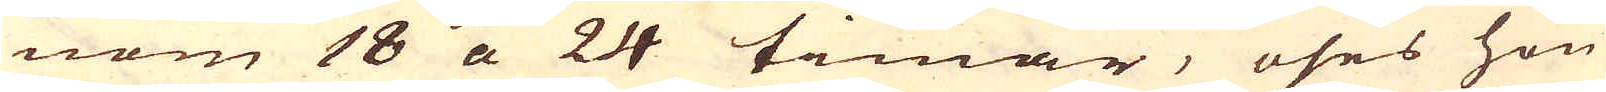nom 18 a 24 timar, öses hon
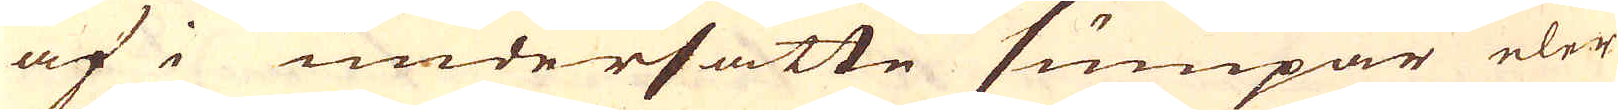af i undersatte sumpar eler
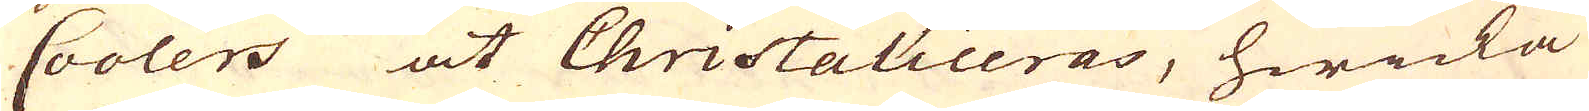Coolers at Christaliceras, hwicka
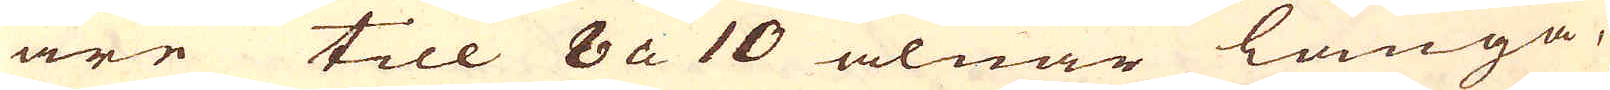äre till 8 a 10 alnar långa,
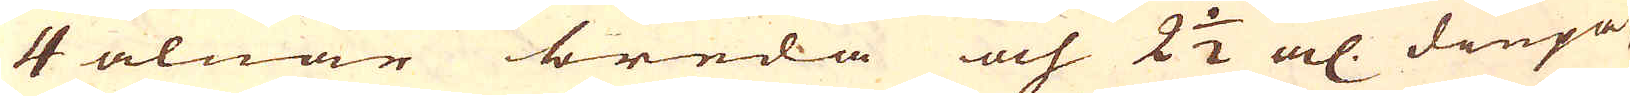4 alnar breda och 2 1/2 al. diupa
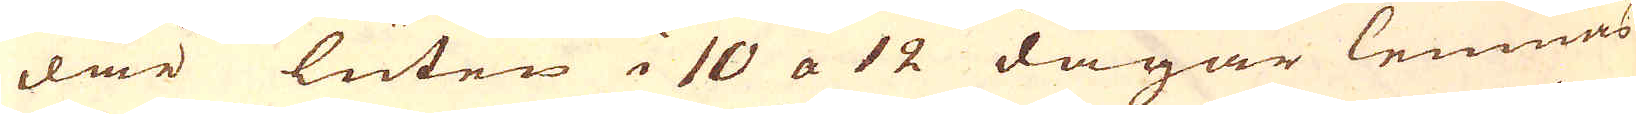där luten i 10 a 12 dagar lemnas
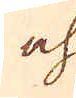och
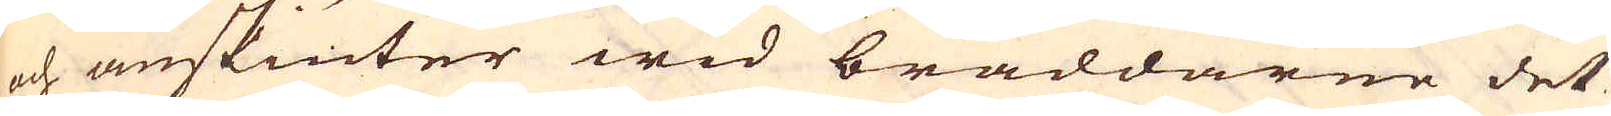och anskiuter wid bräddarne det
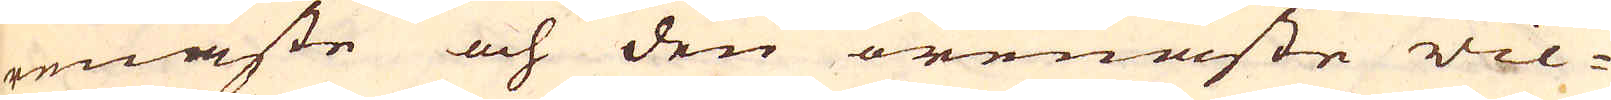renaste och den orenaste vic-
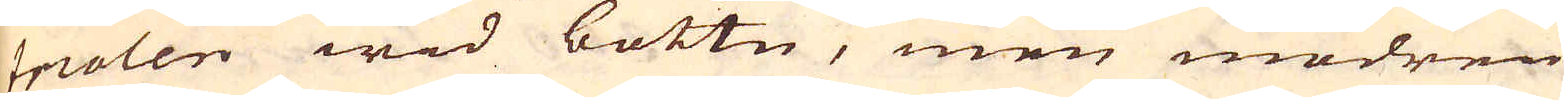triolen wid bottn, men modren
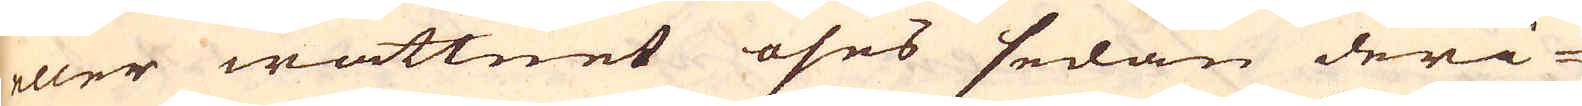eller wattnet öses sedan deri-
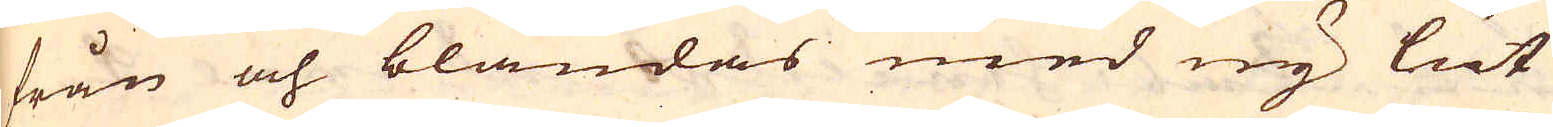från och blandas med ny lut
